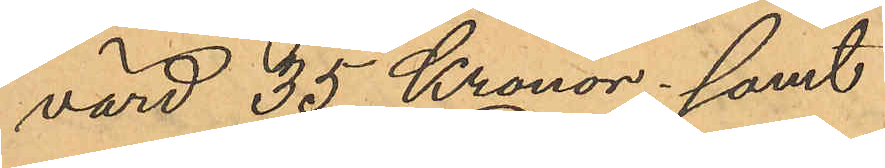värd 35 Kronor; samt
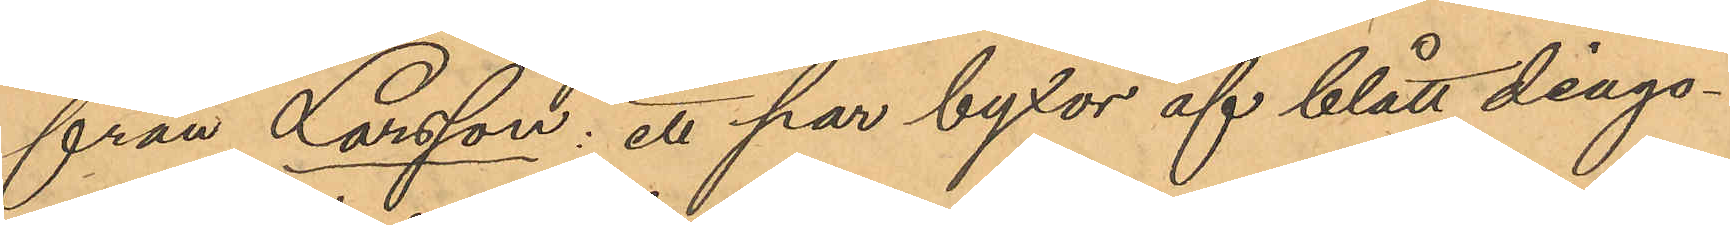från Larsson: ett par byxor af blått diago¬
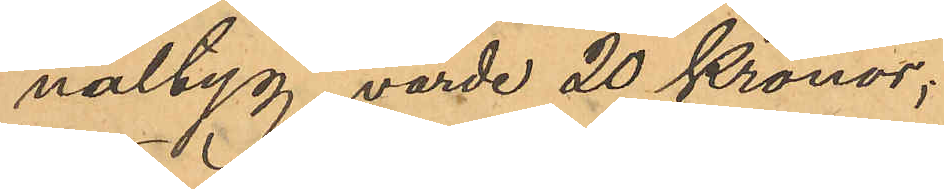naltyg, värde 20 Kronor;
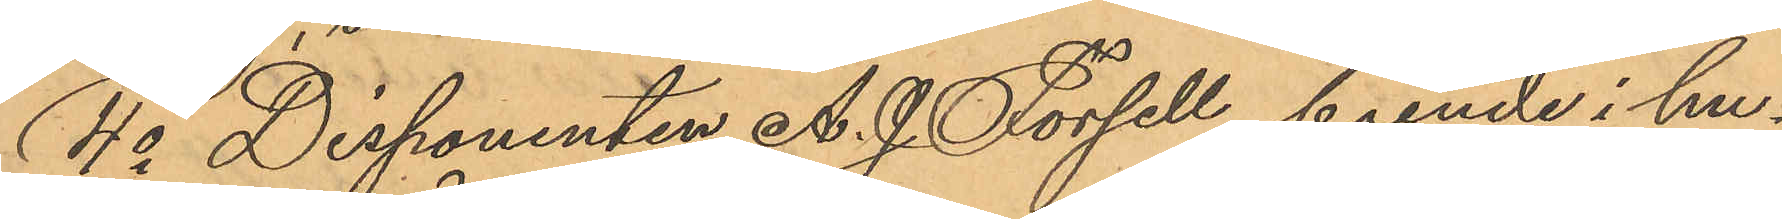4o Disponenten A. J. Forsell, boende i hu¬
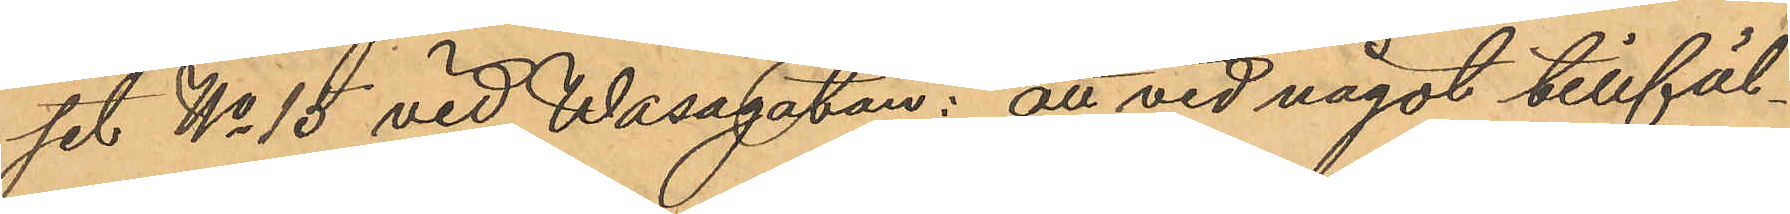set No 15 vid Wasagatan: att vid något tillfäl¬
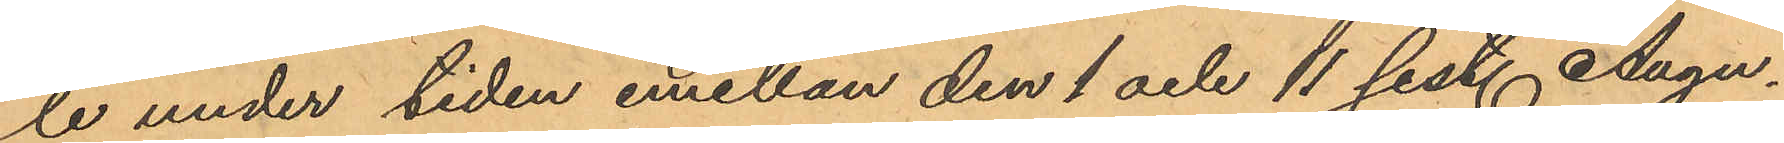le under tiden emellan den 1 och 11 sist. Augu¬
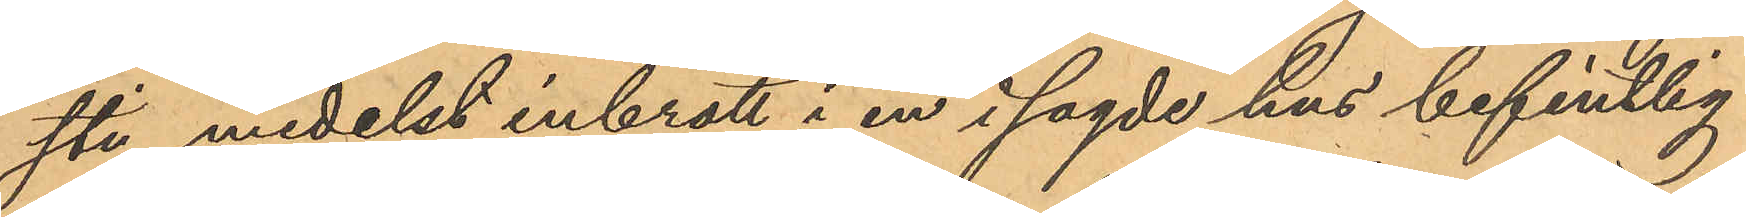sti medelst inbrott i en i sagde hus befintlig
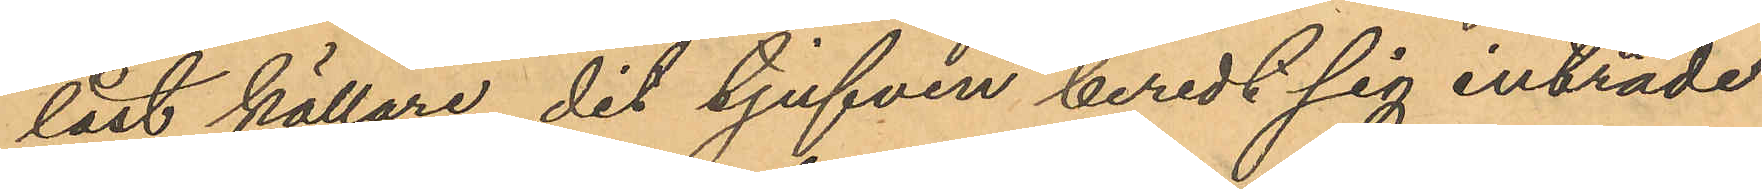låst källare, dit tjufven beredt sig inträde
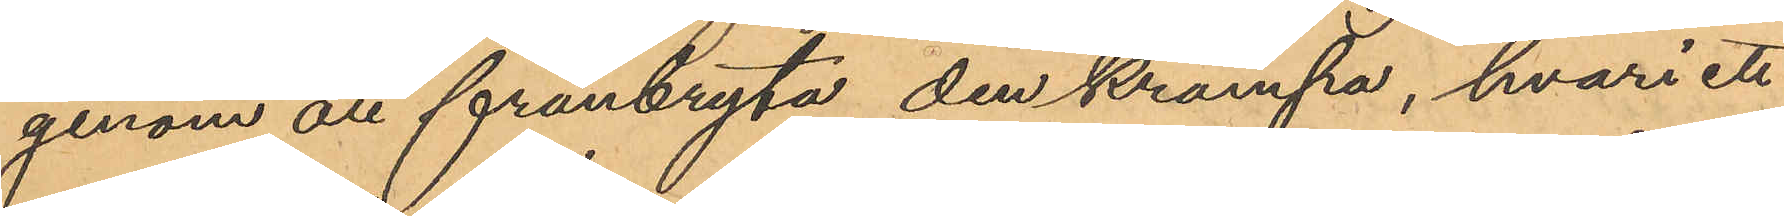genom att frånbryta den krampa, hvari ett
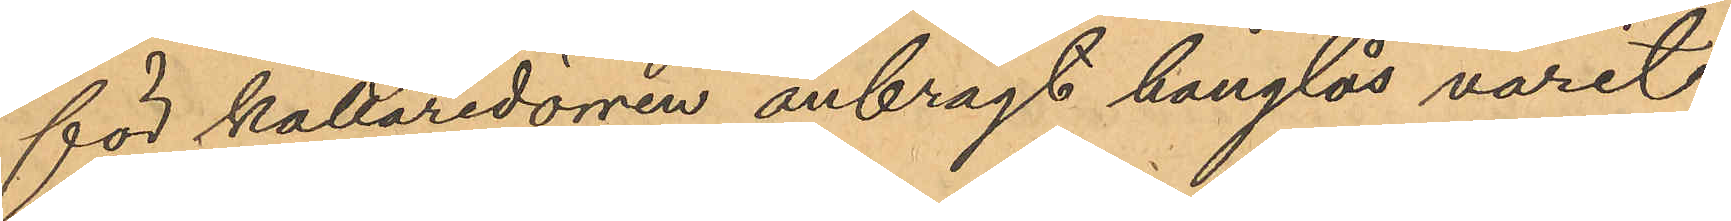för källaredörren anbragt hänglås varit
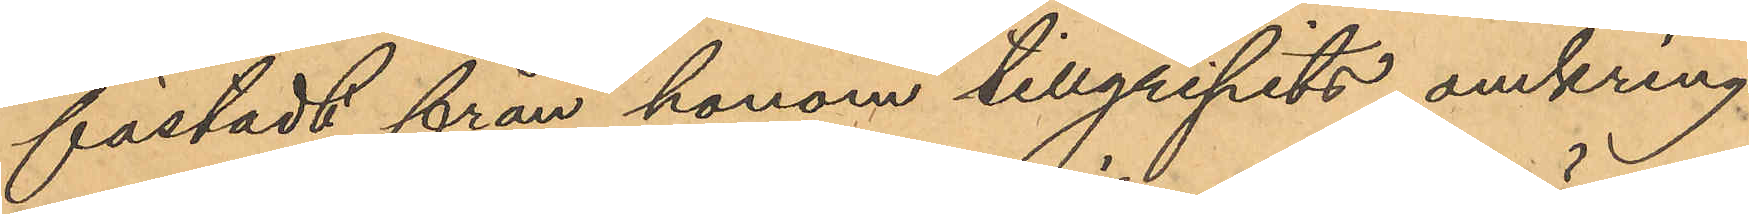fästadt från honom tillgripits omkring
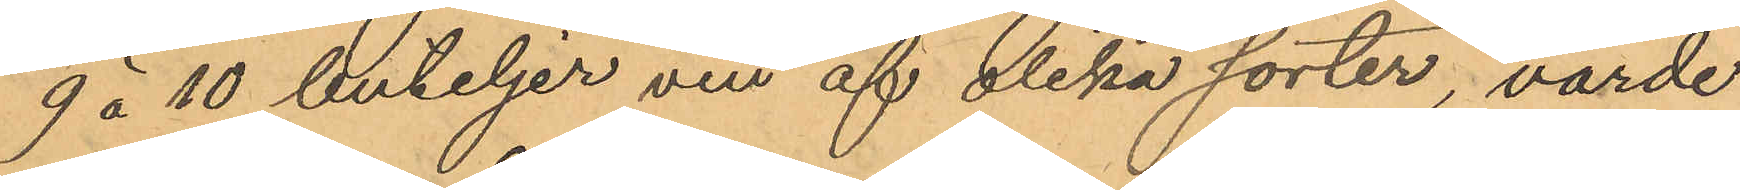9 á 10 buteljer vin af olika sorter, värde
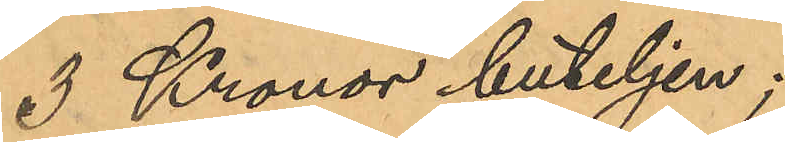3 Kronor buteljen;
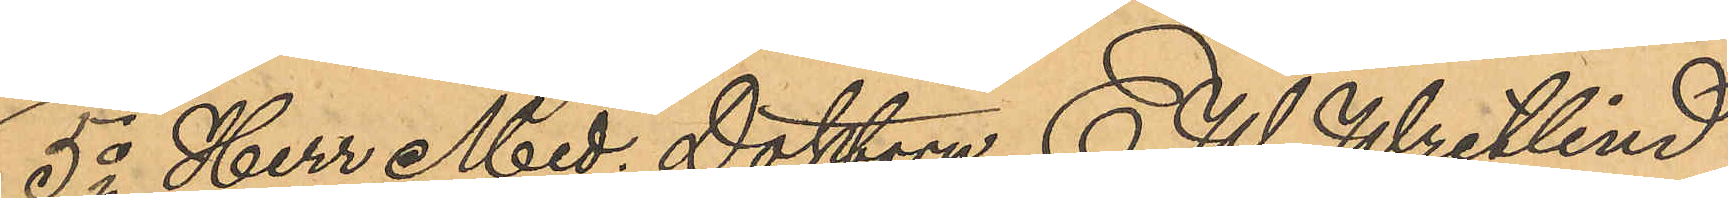5o Herr Med. Doktorn E. W. Wretlind,
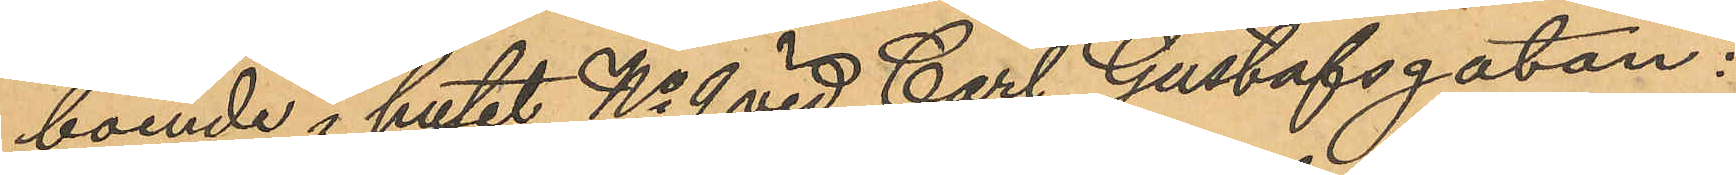boende i huset No 9 vid Carl Gustafsgatan:
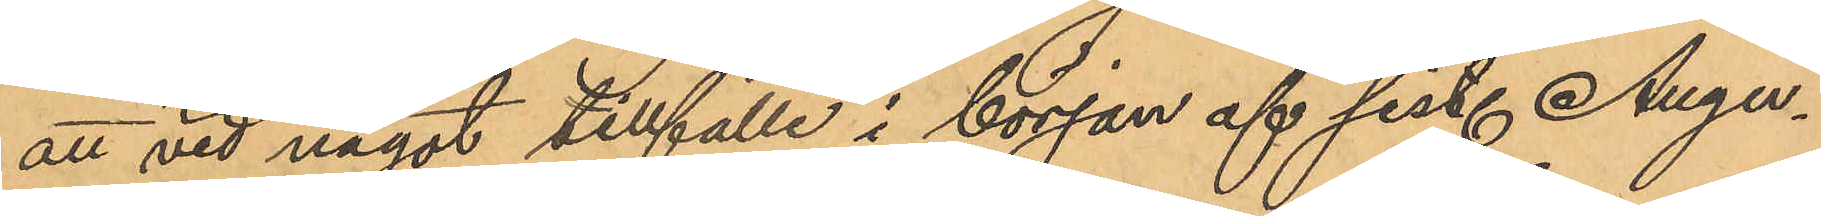att vid något tillfälle i början af sist. Augu¬
